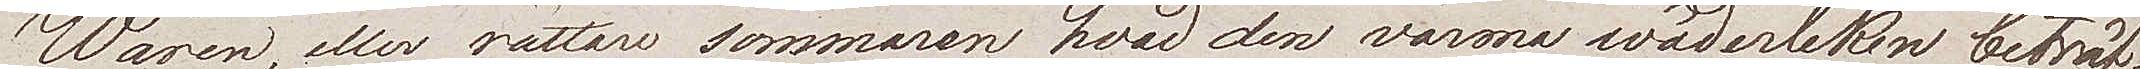Wåren, eller rättare sommaren hvad den varma wäderleken beträf¬
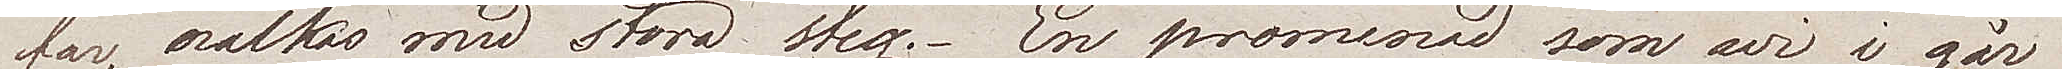far, nalkas med stora steg. En promenad som wi i går
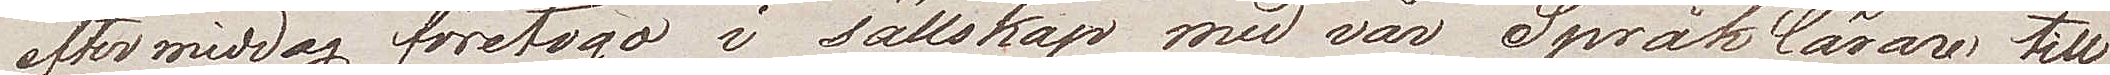efter middag företogo, i sällskap med vår Språklärare till
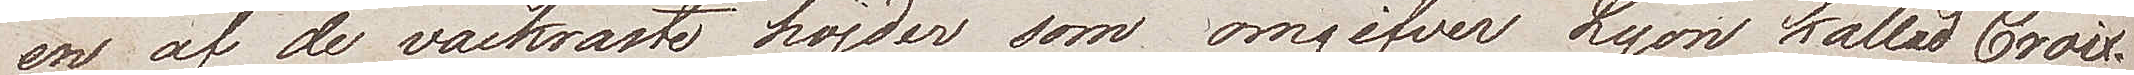en af de vackratse höjder som omgifver Lyon kallad Croix.
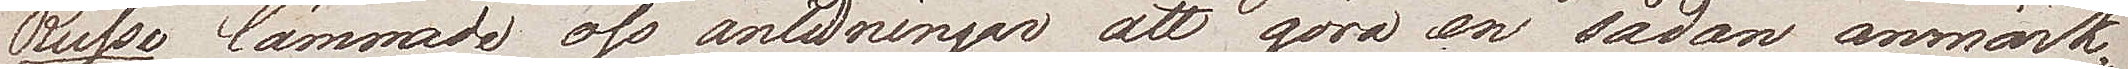Russo lämnade oss anledningar att göra en sådan anmärk¬
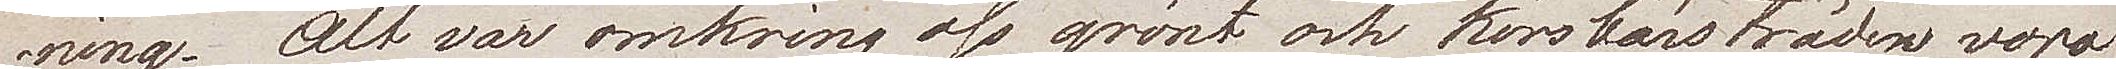ning. Alt var omkring oss grönt och körsbärsträden voro
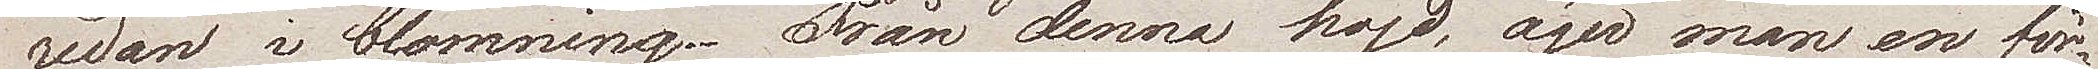redan i blomning. Från denna höjd, äger man en för¬
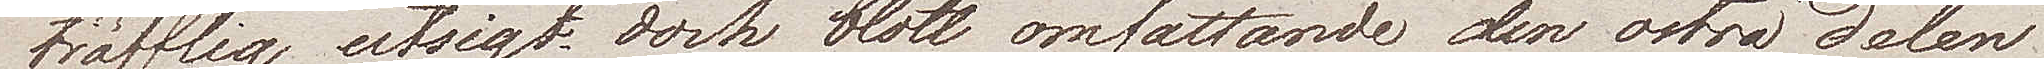träfflig utsigt, dock blott omfattande den östra delen
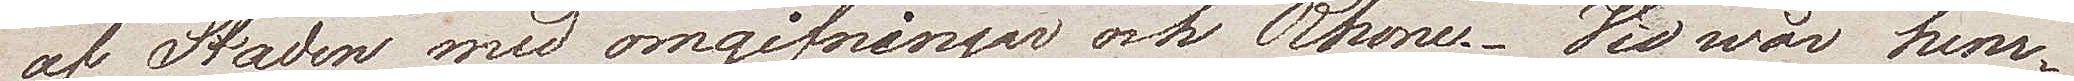af Staden med omgifningar och Rhone. Vid wår hem¬
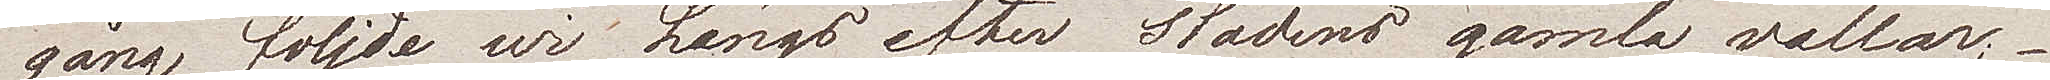gång följde wi längs efter stadens gamla vallar;
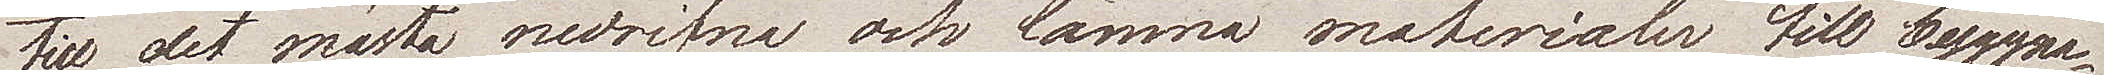till det mästa nedrifna, och lämna materialer till byggna¬
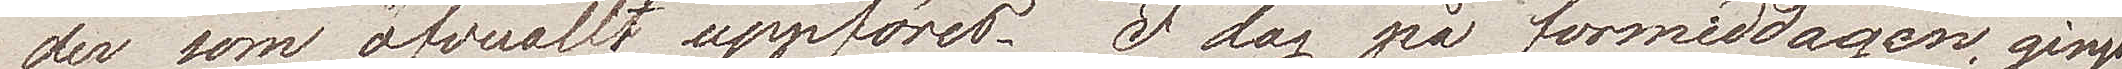der som öfverallt uppföres. I dag på förmiddagen, gingo
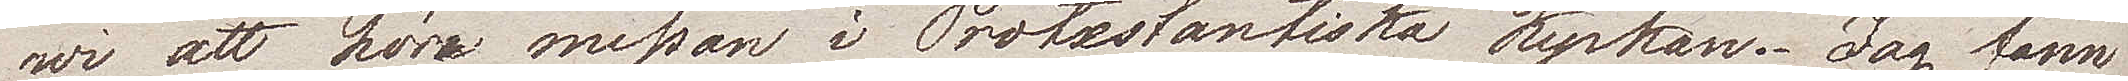wi att höra messan i Protestantiska kyrkan. Jag fann
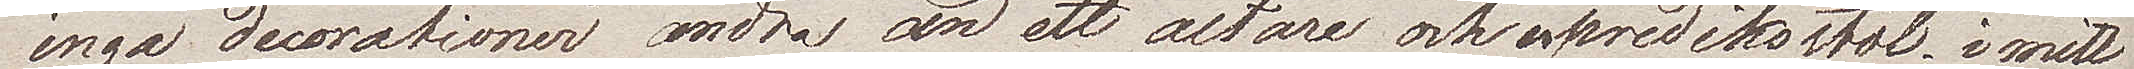inga decorationer andra än ett altare och en prediksstol. i mitt
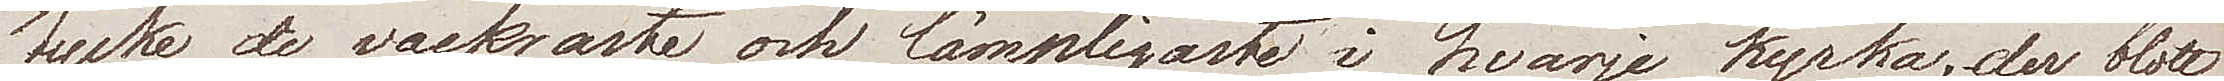tycke de vackratse och lämpligaste i hvarje kyrka; der blott
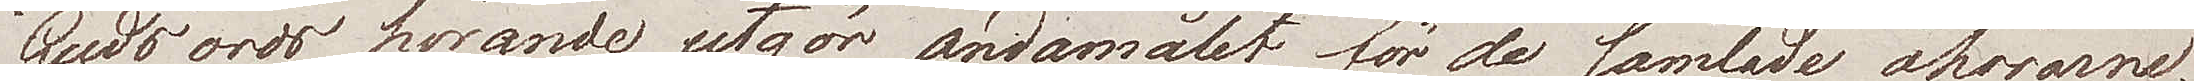Guds ords hörande, utgör ändamålet, för de samlade åhörarne.
